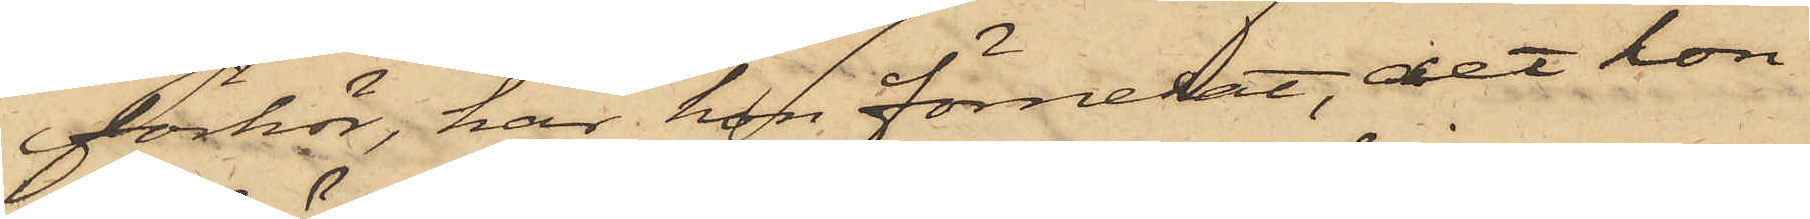förhör, har hon förnekat, det hon
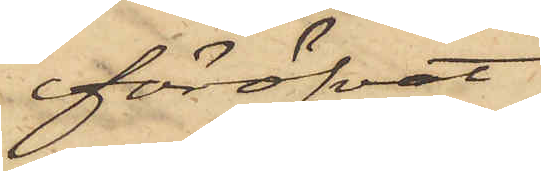föröfvat
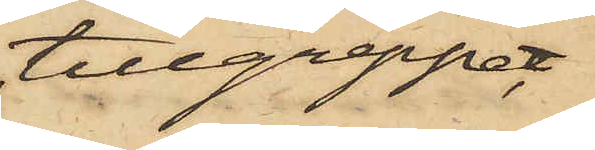tillgreppet,
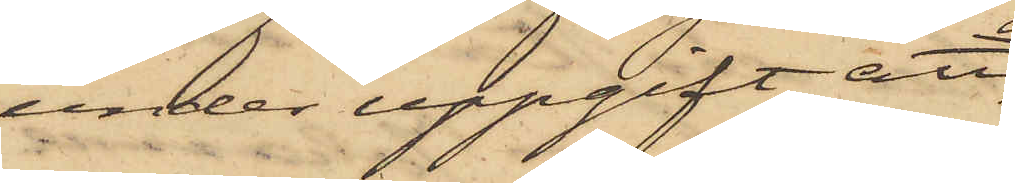under uppgift att
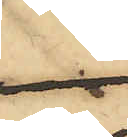 då
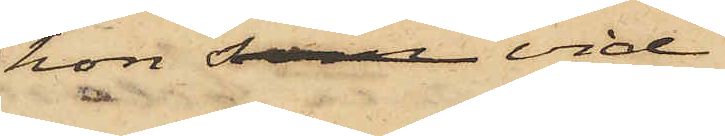hon som vid
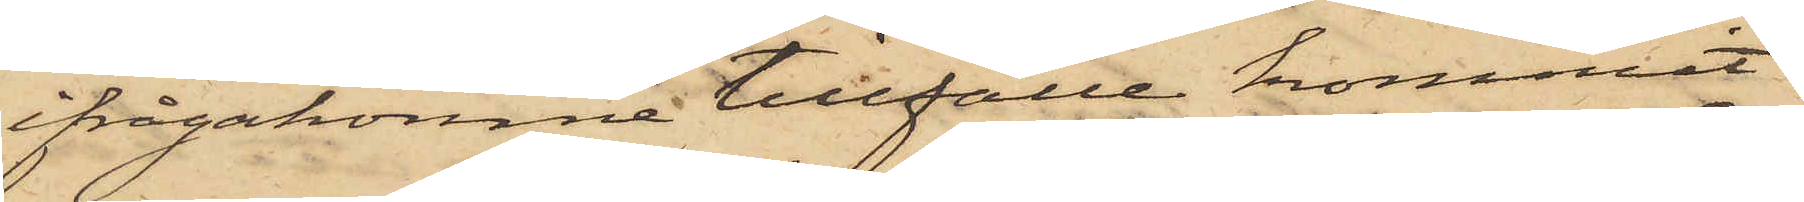ifrågakomne tillfälle kommit
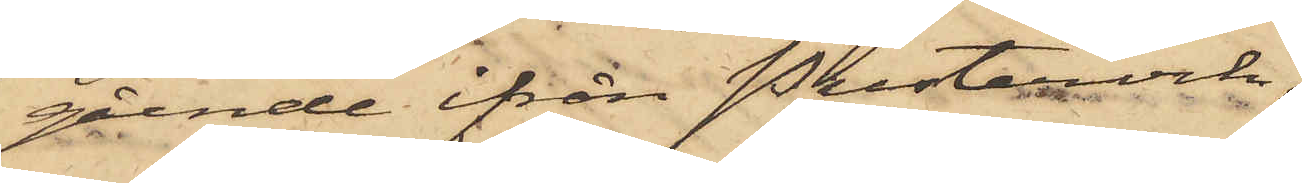gående ifrån Pustervik,
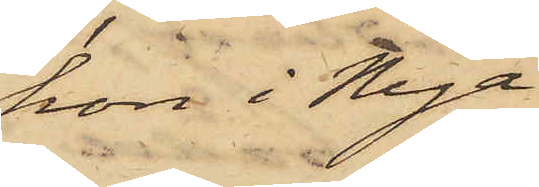hon i Nya
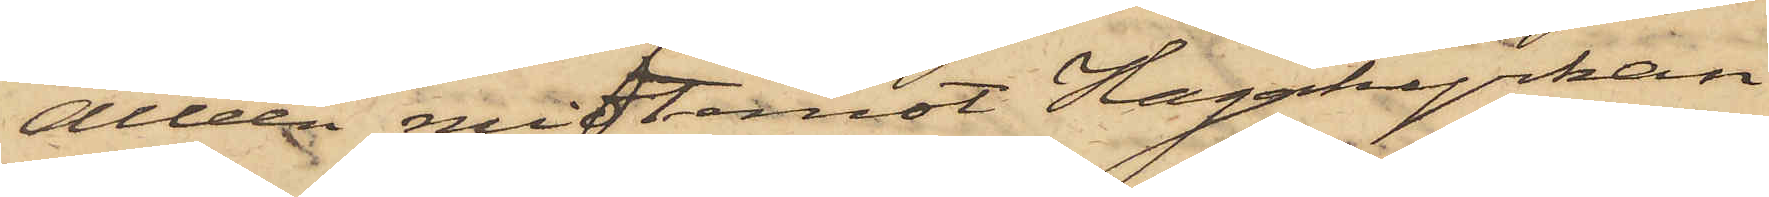Alléen midtemot Hagakyrkan
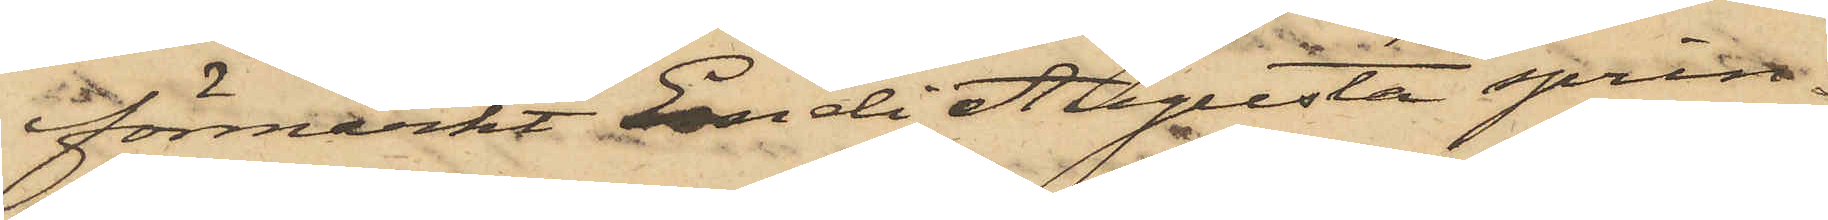förmärkt Emeli Augusta sprin¬
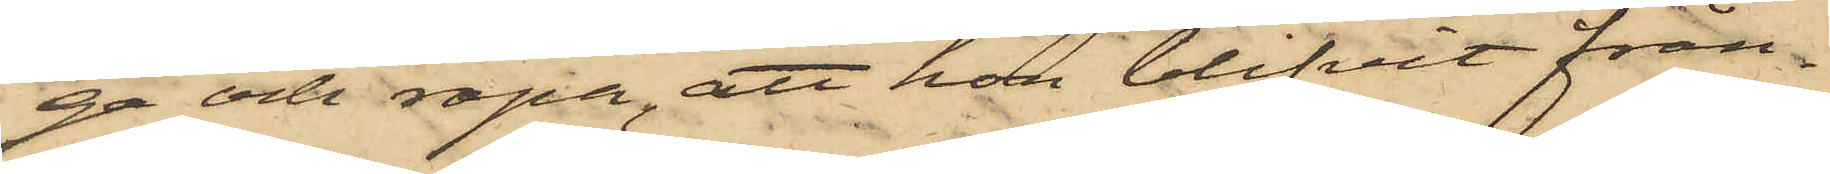ga och ropa, att hon blifvit från¬
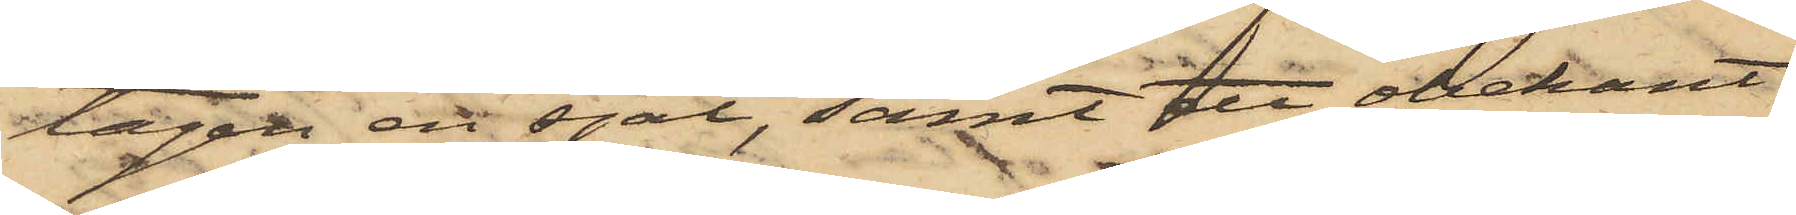tagen ett sjal, samt ett obekant
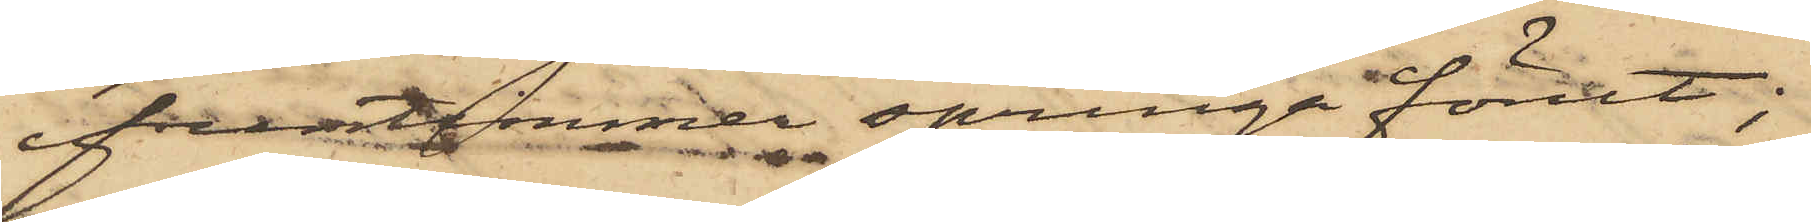fruntimmer springa förut;
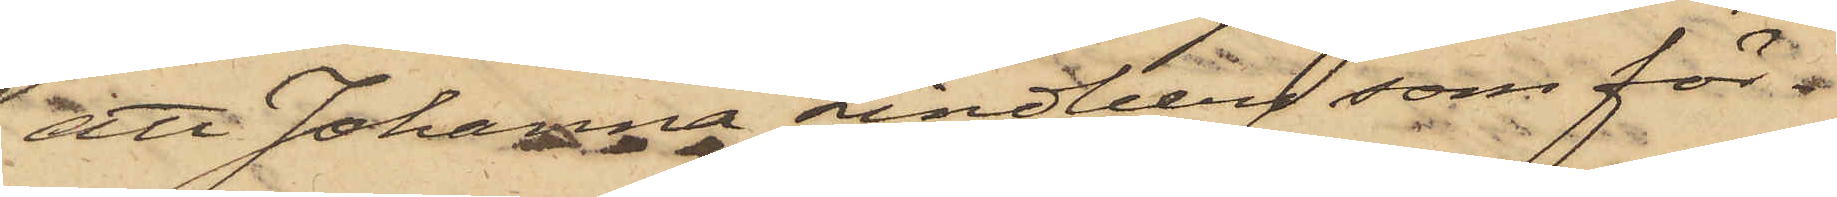att Johanna Lindlberg, som för¬
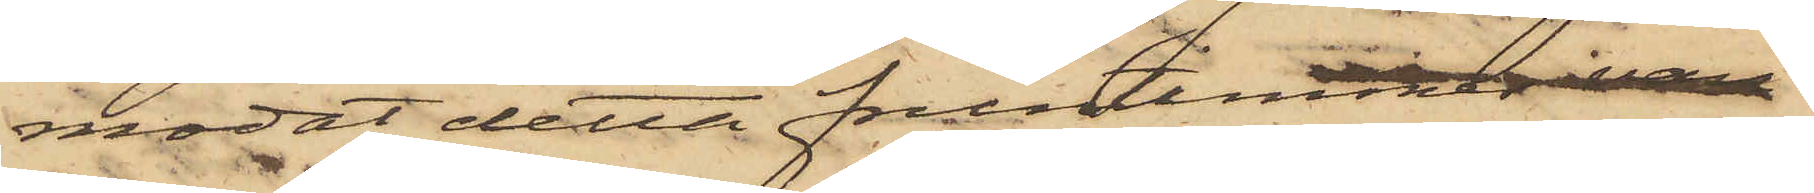modat detta fruntimmer vore
